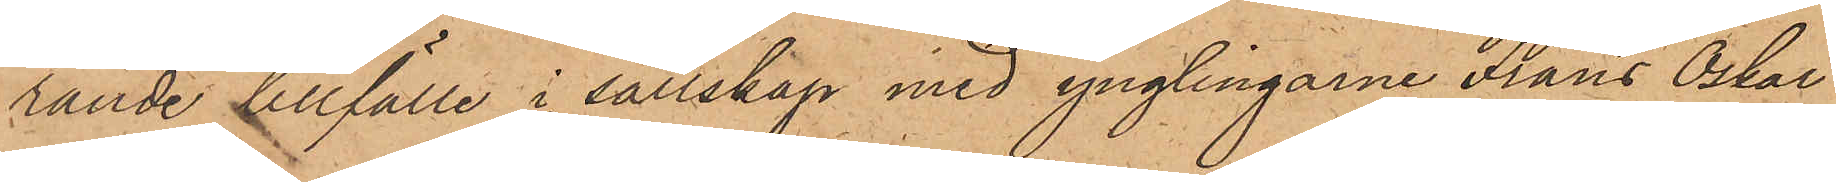rande tillfälle i sällskap med ynglingarne Frans Oskar
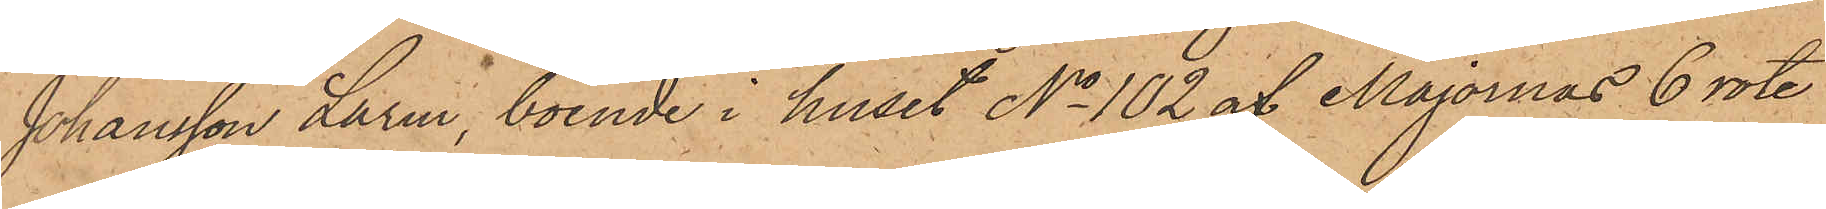Johansson Larm, boende i huset No 102 af Majornas 6 rote
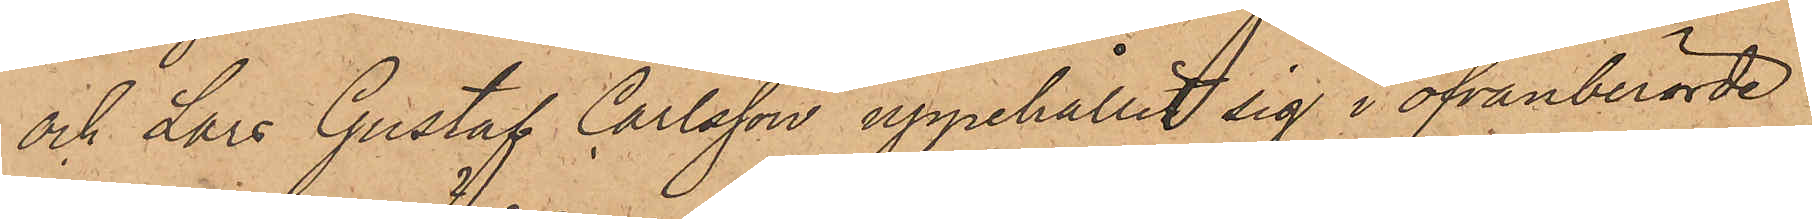och Lars Gustaf Carlsson uppehållit sig i ofvanberörde
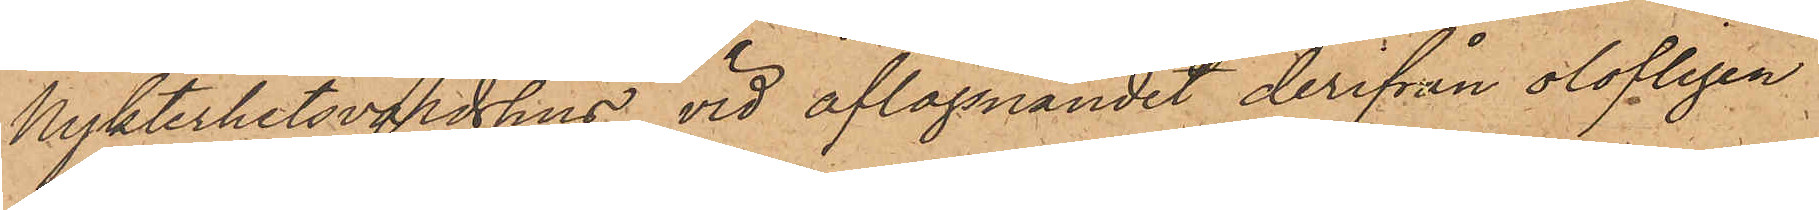Nykterhetsvärdshus, vid aflägsnandet derifrån olofligen
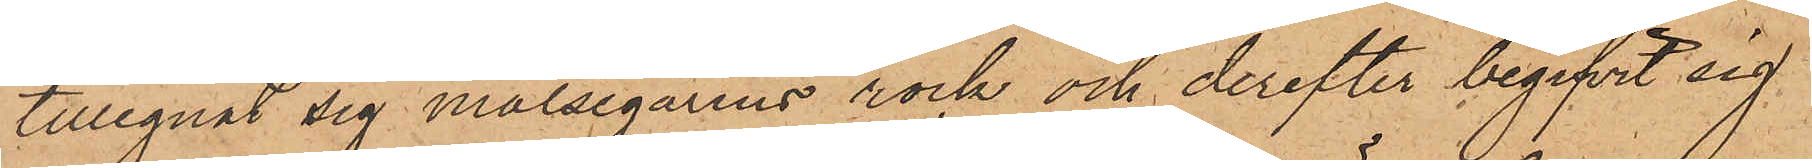tillegnat sig målsegarens rock och derefter begifvit sig
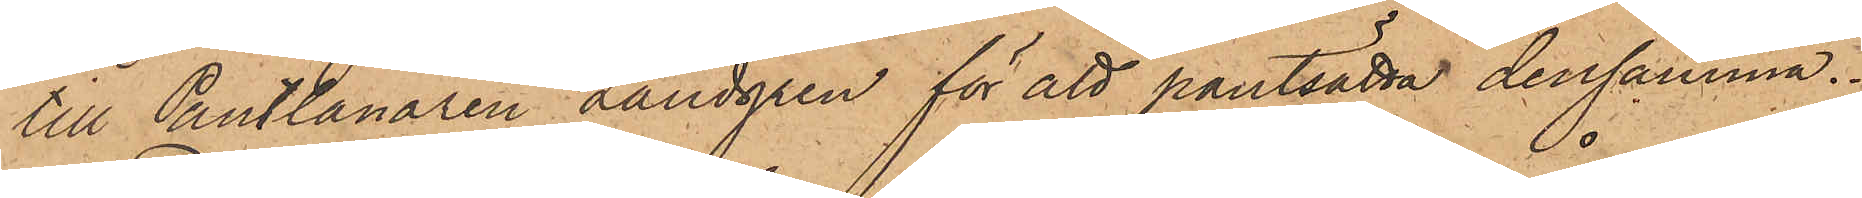till Pantlånaren Landgren för att pantsätta densamma.
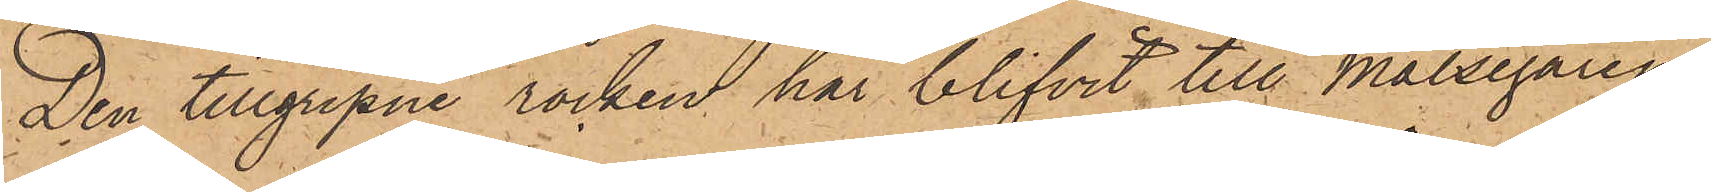Den tillgripne rocken har blifvit till Målsegaren
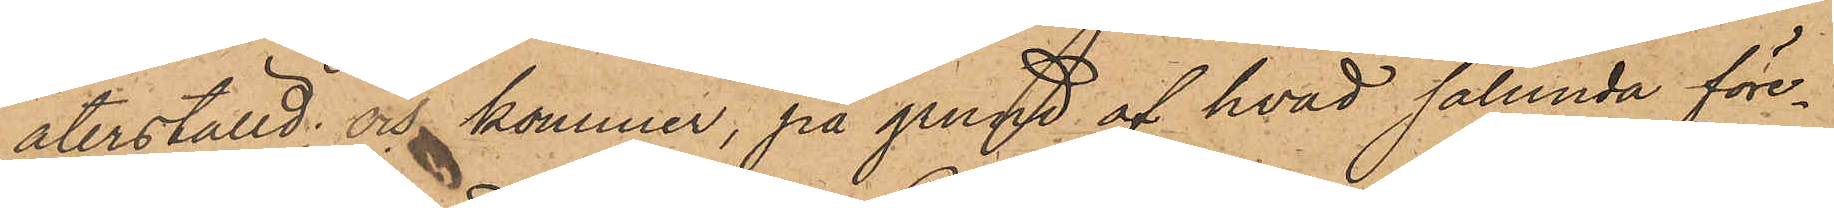återställd; och kommer, på grund af hvad sålunda före¬
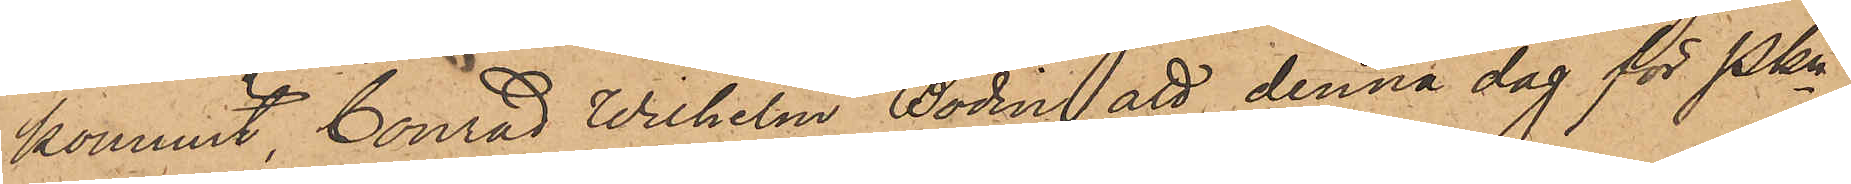kommit, Conrad Wilhelm Bodin att denna dag för Pkn
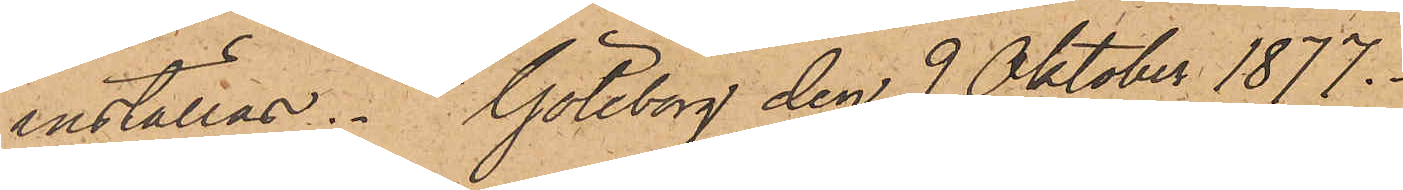inställas. Göteborg den 9 Oktober 1877.
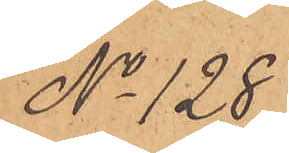No 128.
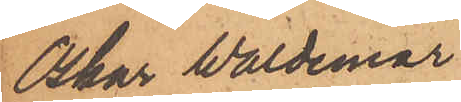Oskar Waldemar
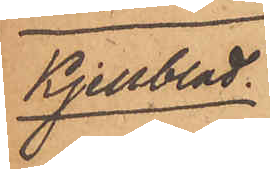Kjellblad.
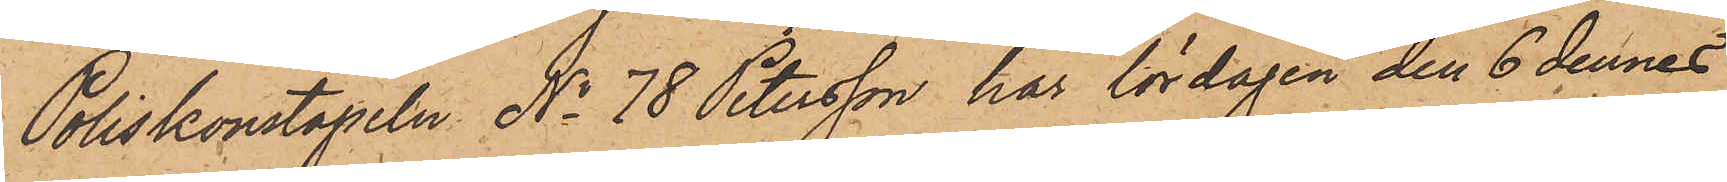Poliskonstapeln No 78 Petersson har lördagen den 6 dennes
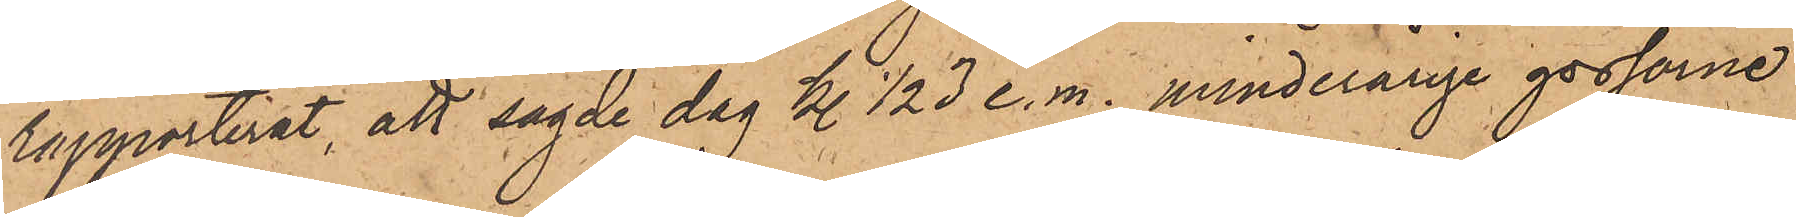rapporterat, att sagde dag kl. ½3 e.m. minderårige gossarne
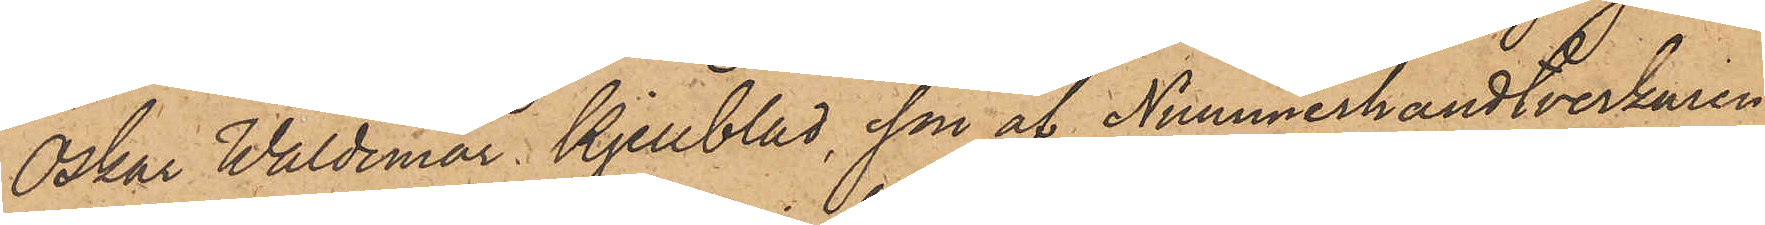Oskar Waldemar Kjellblad, son af Nummerhandtverkaren
